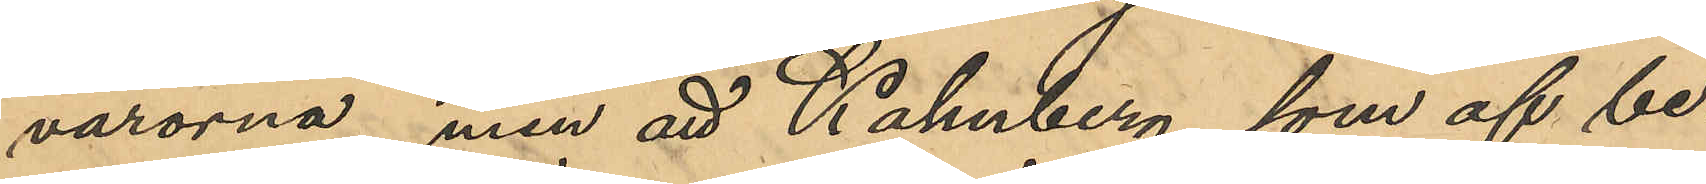varorna, men att Kahnberg, som af be¬
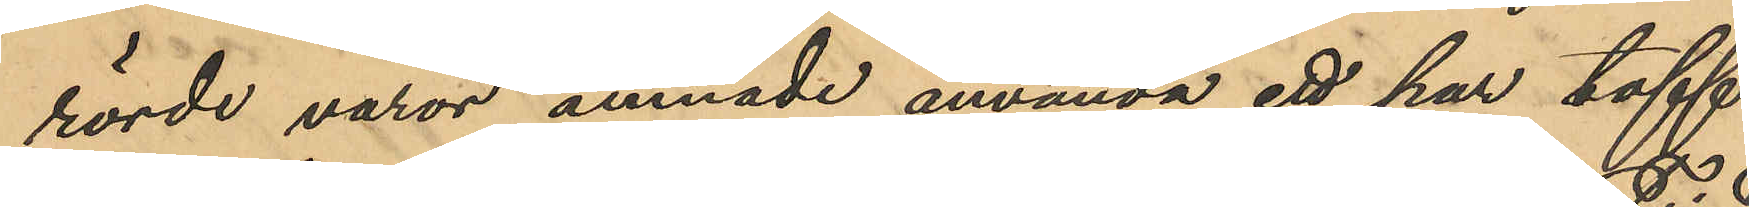rörde varor ämnade använda ett par toff¬
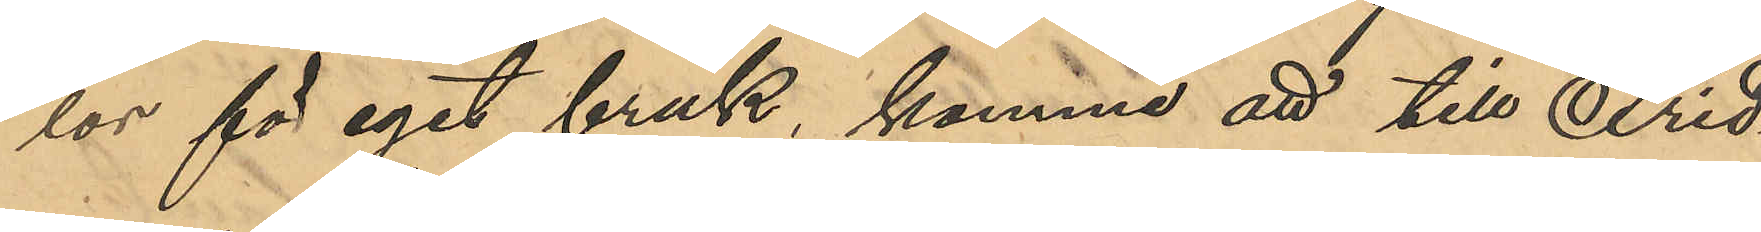lor för eget bruk, komme att till Frid¬
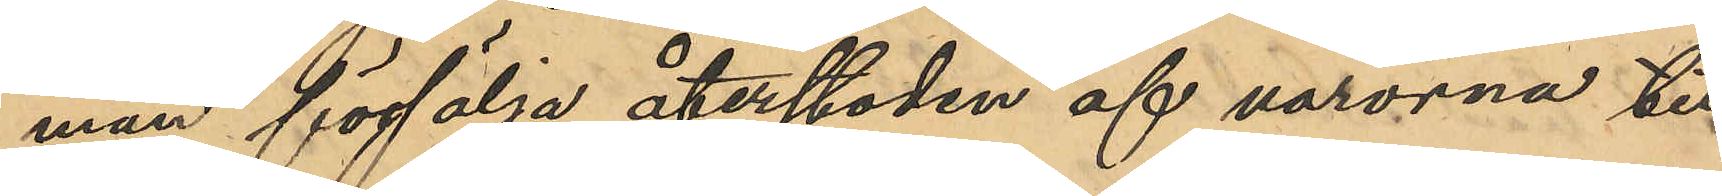man försälja återstoden af varorna till
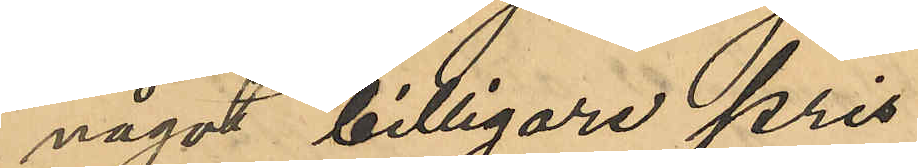något billigare pris;
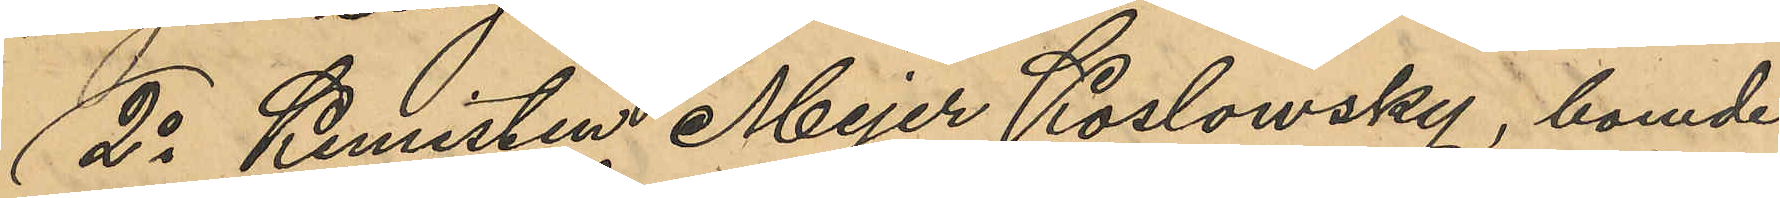2o Kemisten Mejer Koslowsky, boende
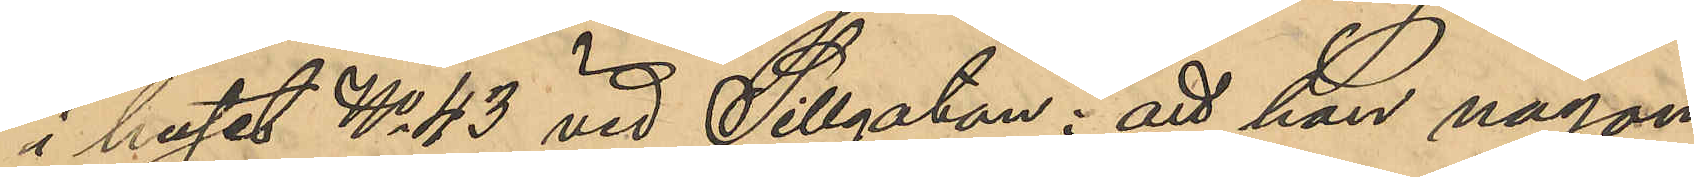i huset No 43 vid Sillgatan: att han någon
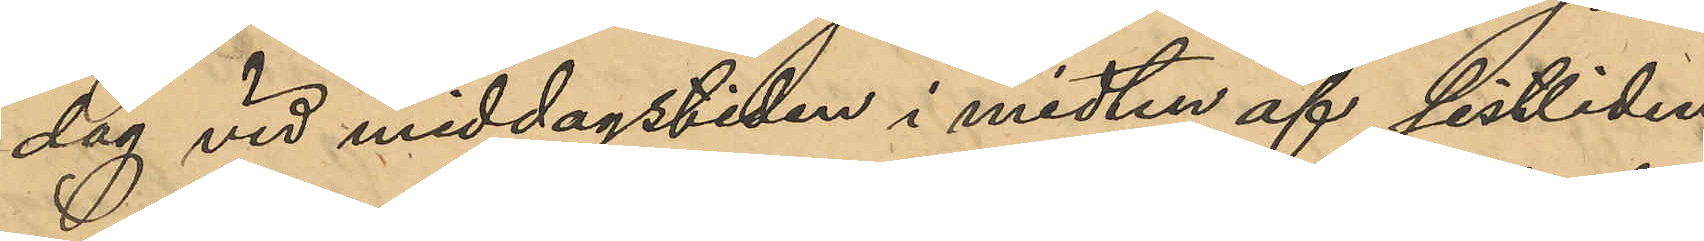dag vid middagstiden i midten af sistlidne
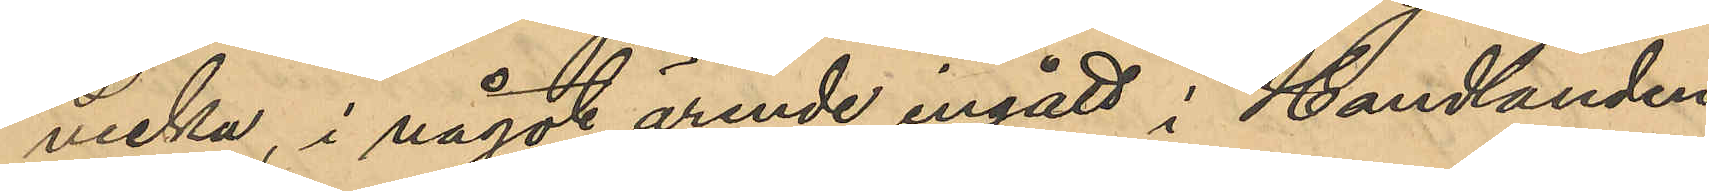vecka, i något ärende ingått i Handlanden
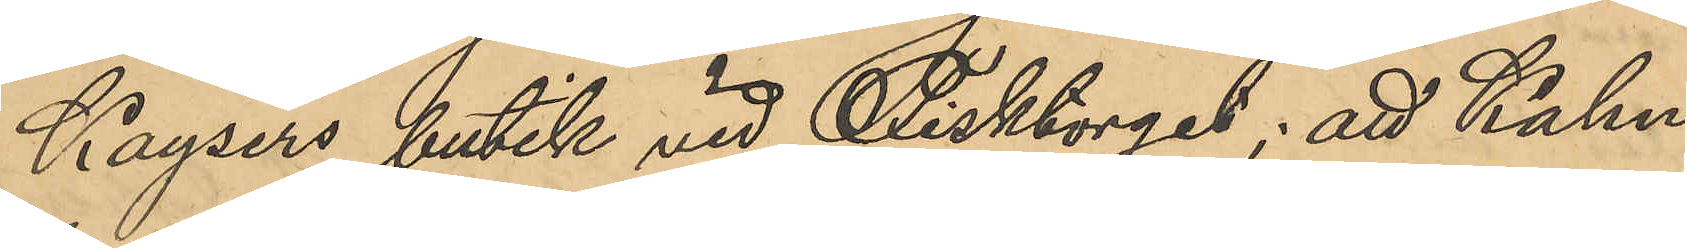Kaysers butik vid Fisktorget; att Kahn¬
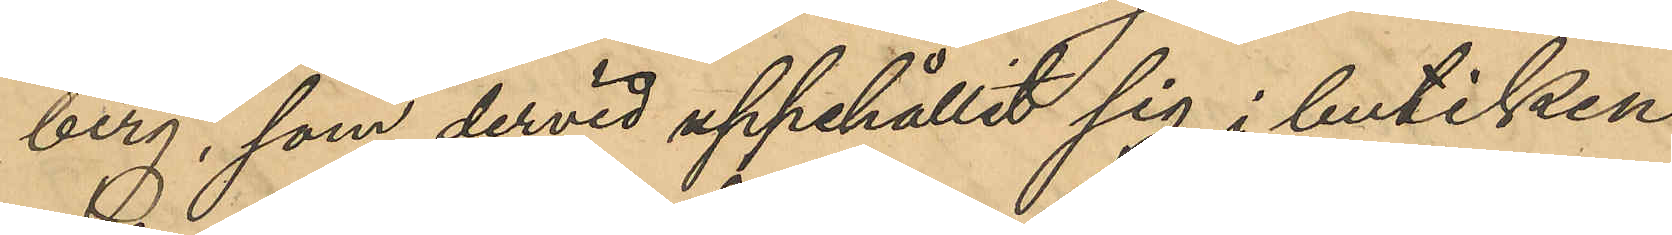berg, som dervid uppehållit sig i butiken
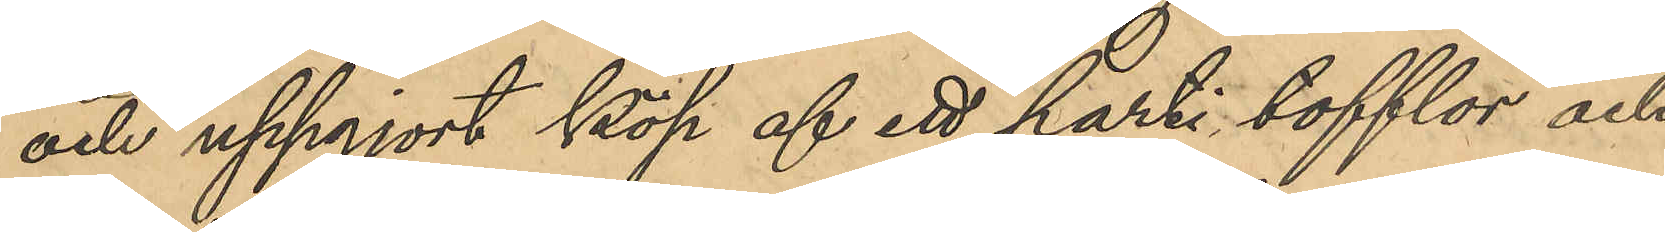och uppgjort köp af ett parti tofflor och
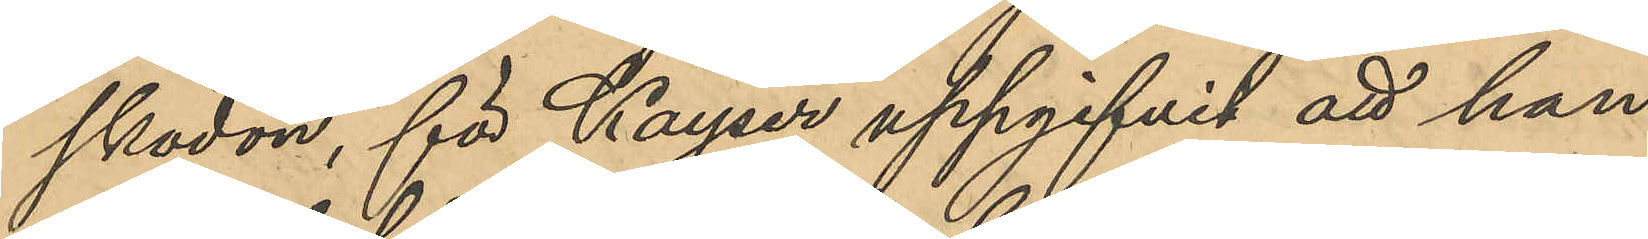skodon, för Kayser uppgifvit att han
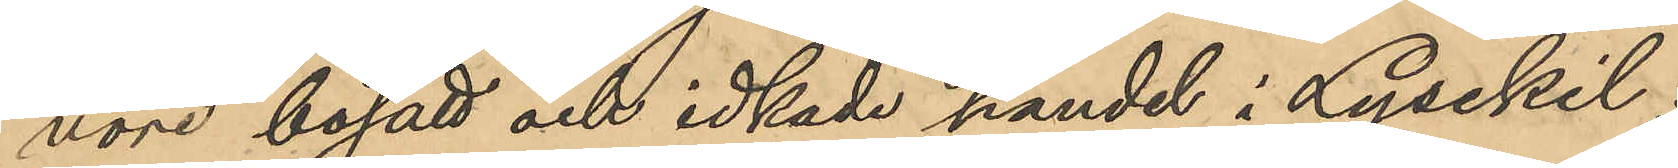vore bosatt och idkade handel i Lysekil;
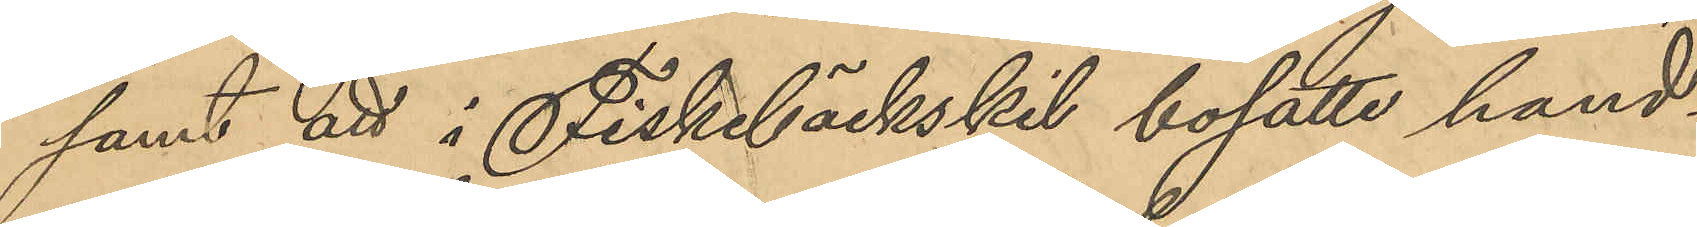samt att i Fiskebäckskil bosatte hand¬
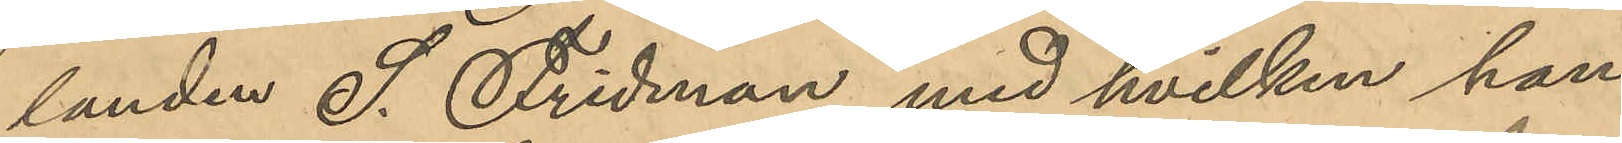landen S. Fridman, med hvilken han 
